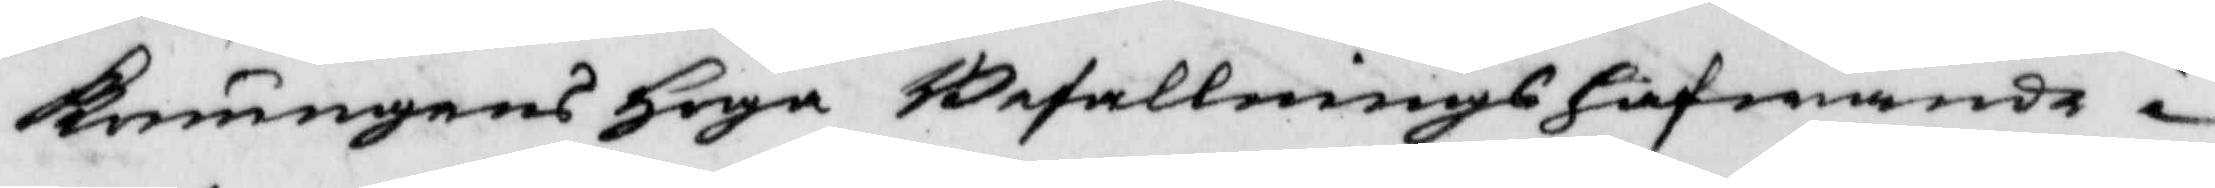Konungens Höga Befallningshafwande i
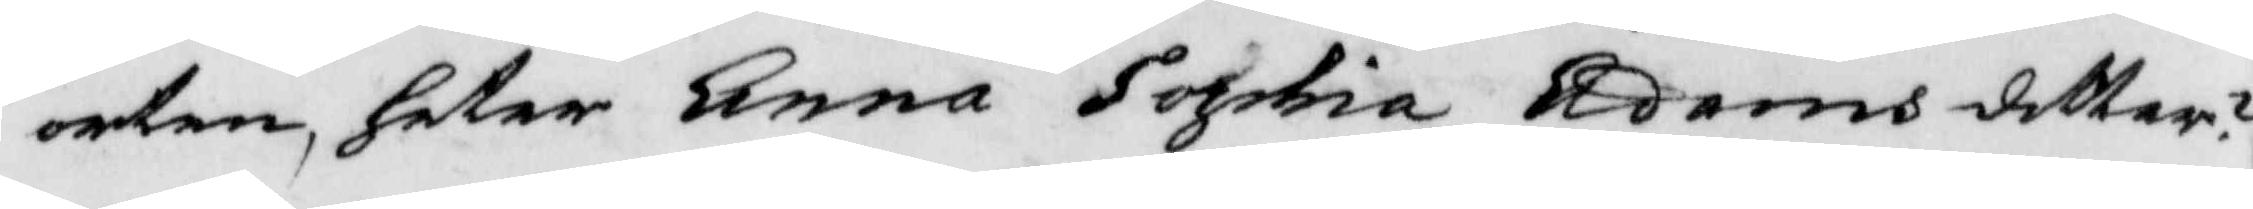orten, heter Anna Sophia Adamsdotter?
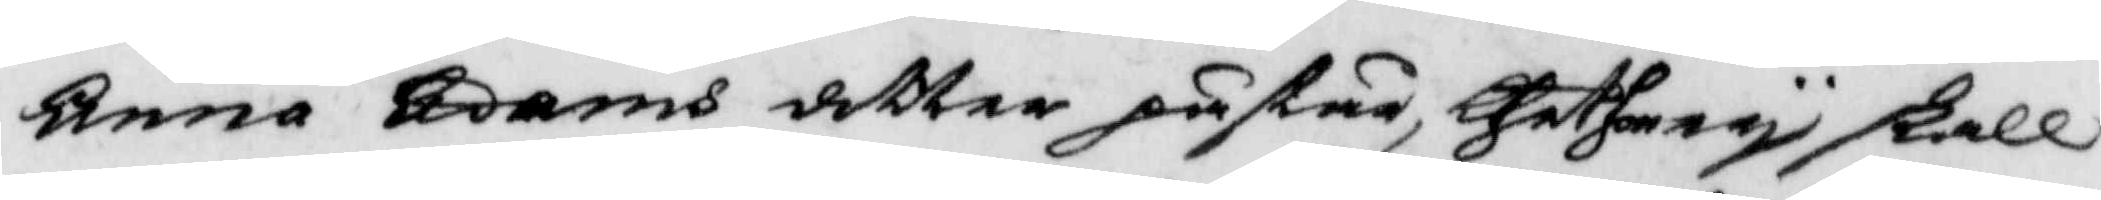Anna Adams dotter påstår thet hon ey skall
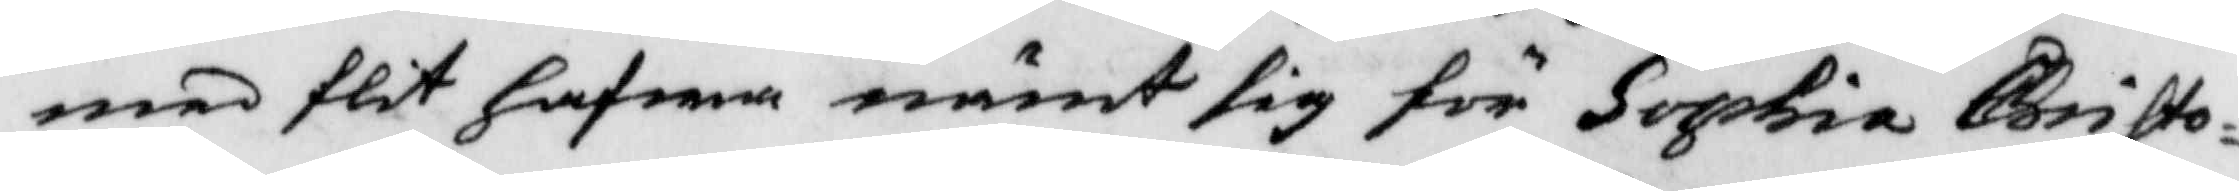med flit hafwa nämt sig för Sophia Christo¬
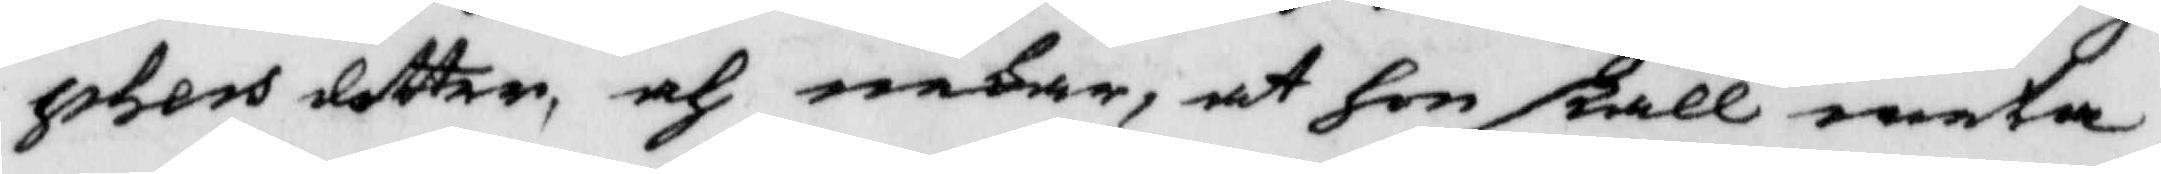phers dotter, och nekar, at hon skall weta
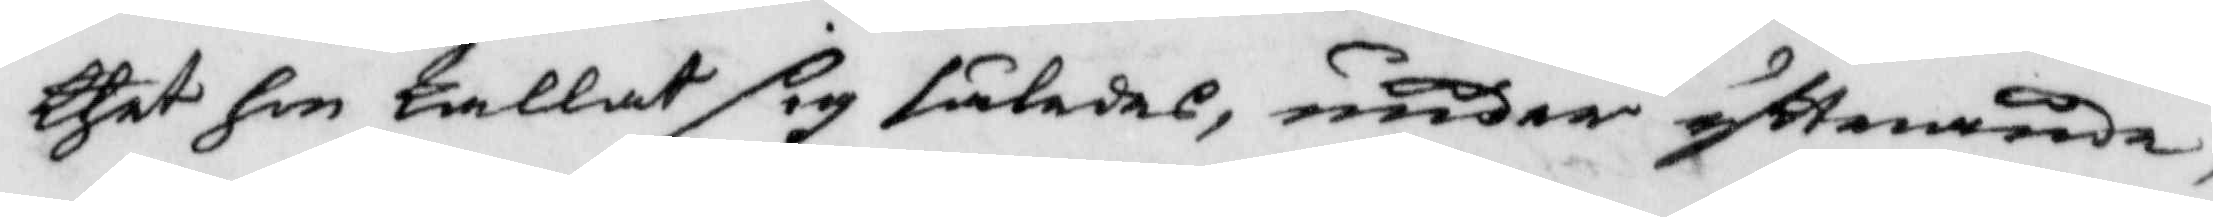thet hon kallat sig således, under yttrande,
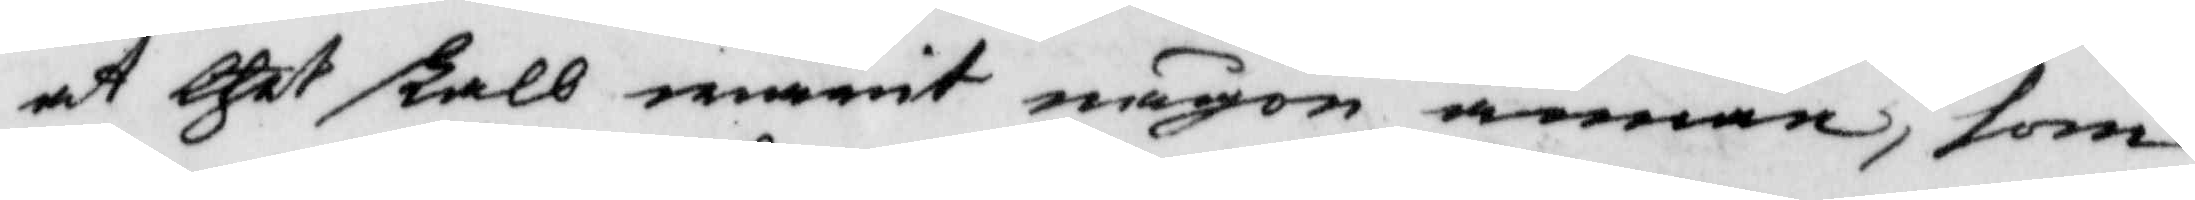at thet skall warit någon annan, som
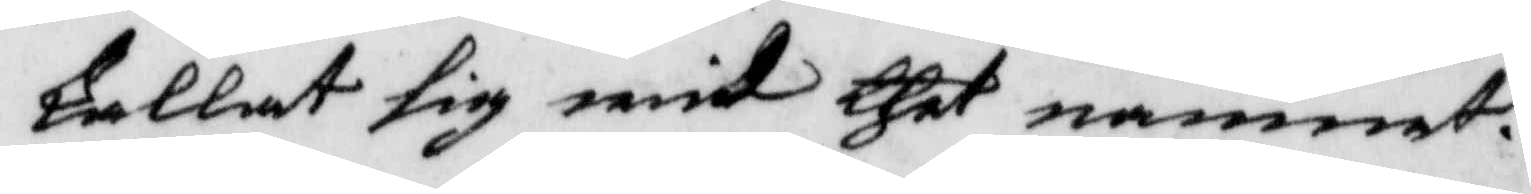kallat sig wid thet namnet.
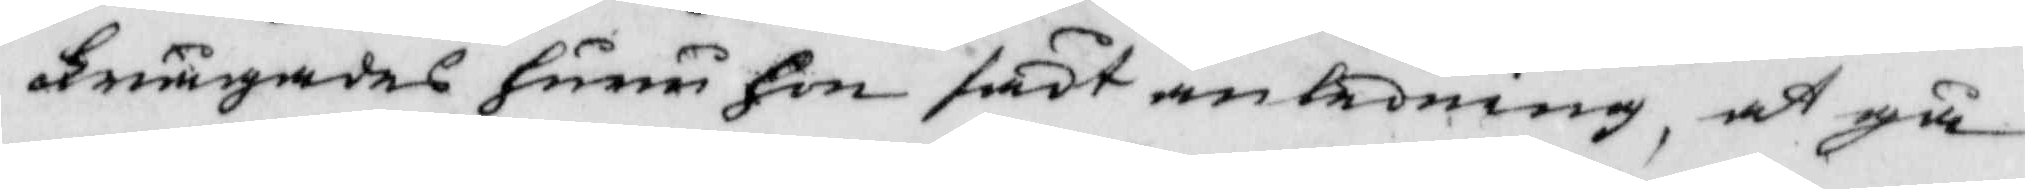Frågades huru hon sökt anledning, at gå
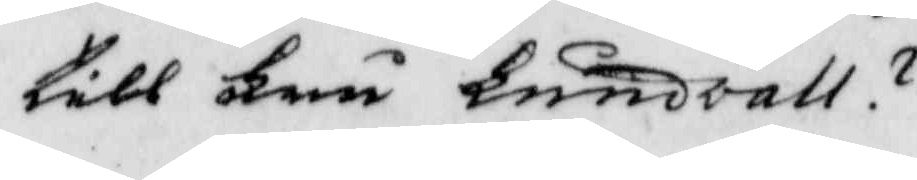till Fru knudvall?
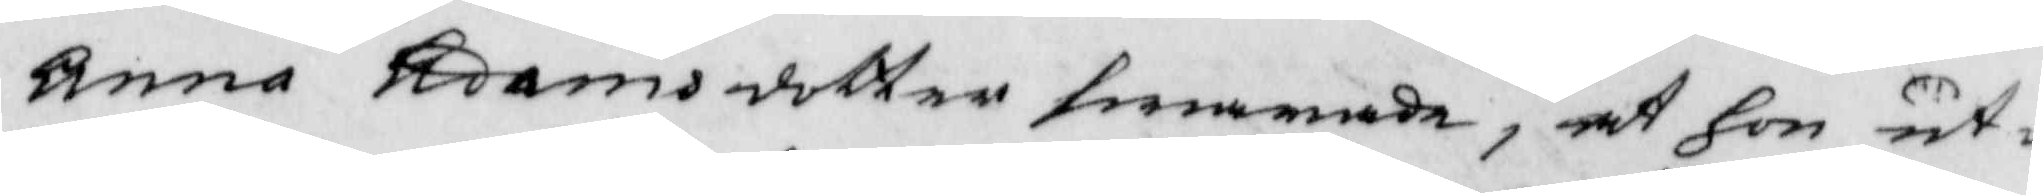Anna Adams dotter swarade, at hon ut¬
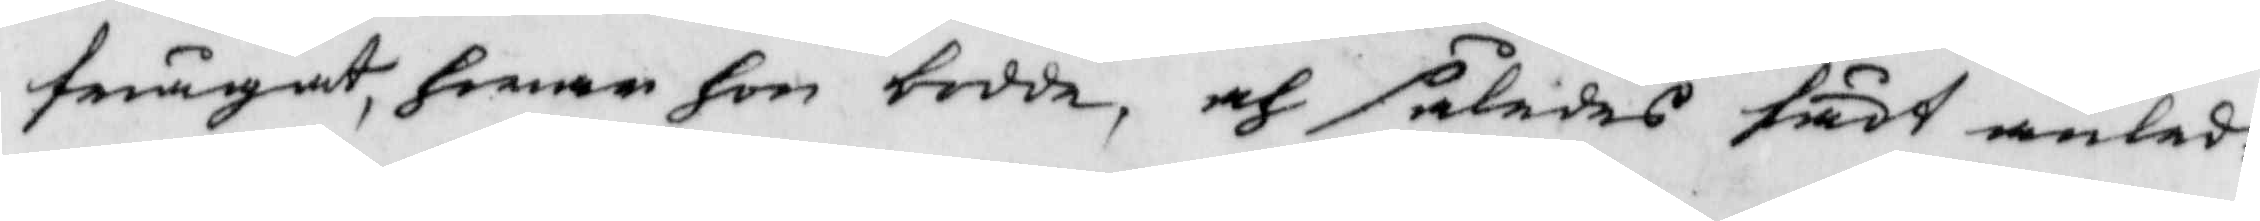frågat, hwar hon bodde, och således fådt anled¬
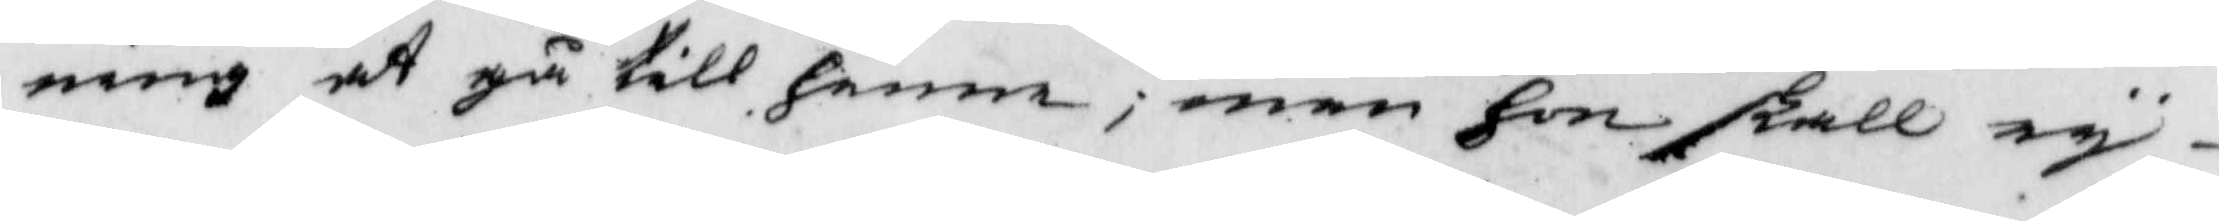ning at gå till henne; men hon skall ey
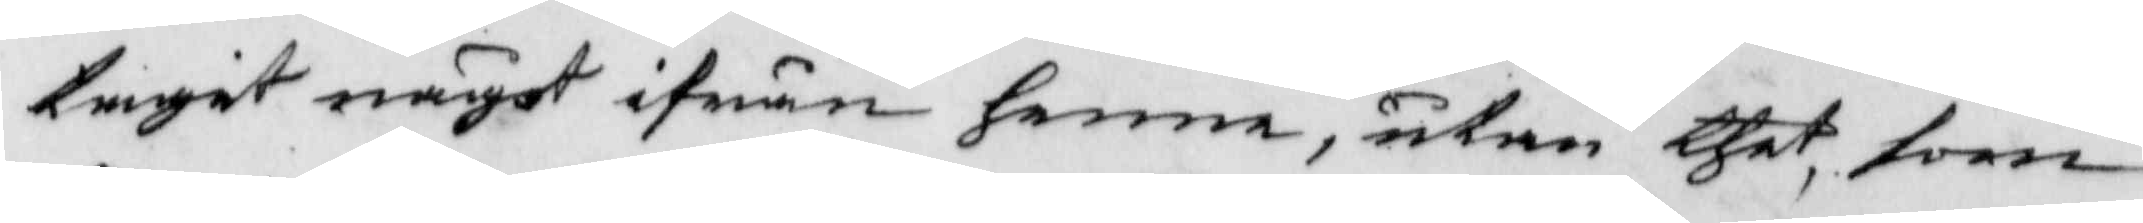tagit något ifrån henne, utan thet, soom
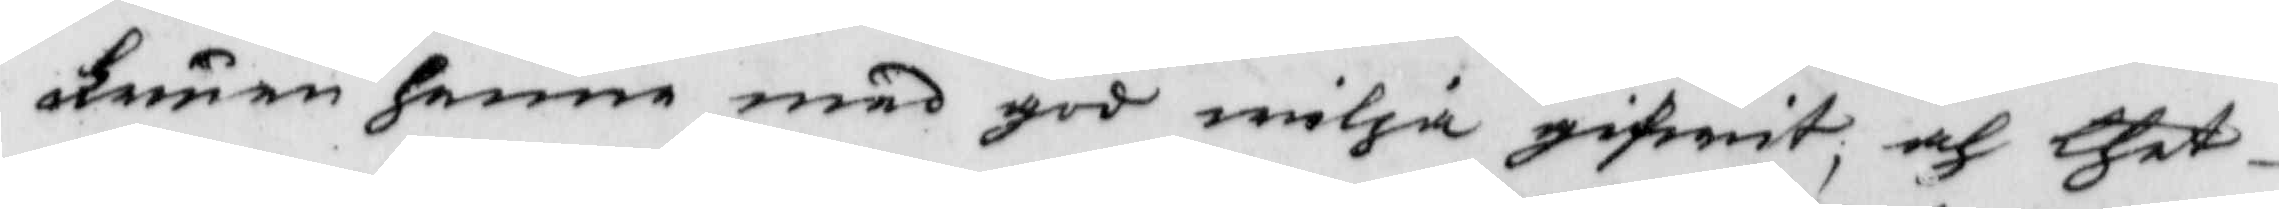fruen henne med god wilja gifwit, och thet
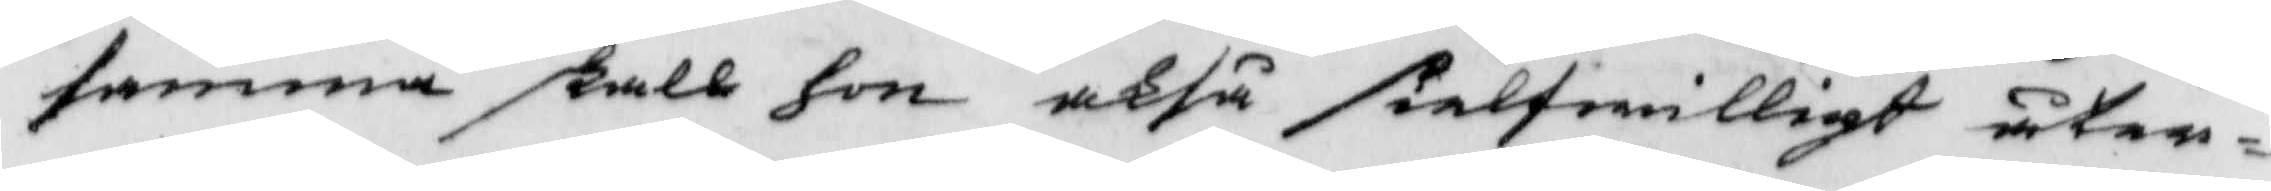samma skall hon okså sielfwilligt åter¬
